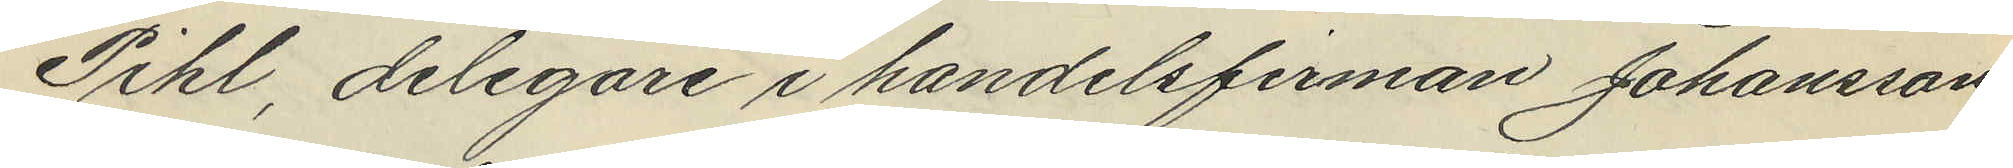Pihl, delegare i handelsfirman Johansson
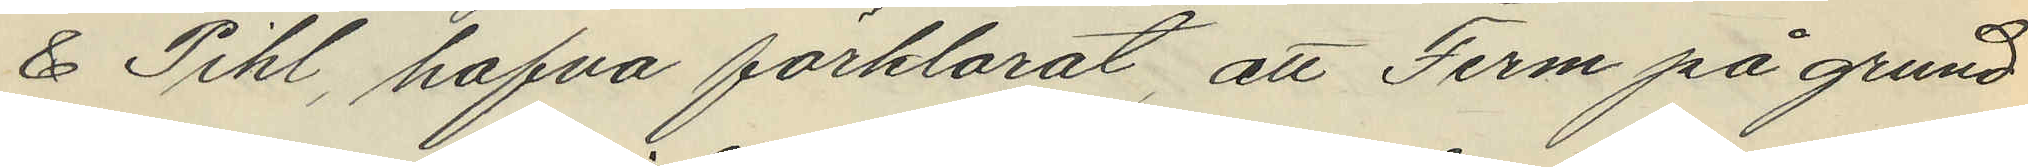& Pihl, hafva förklarat, att Ferm på grund
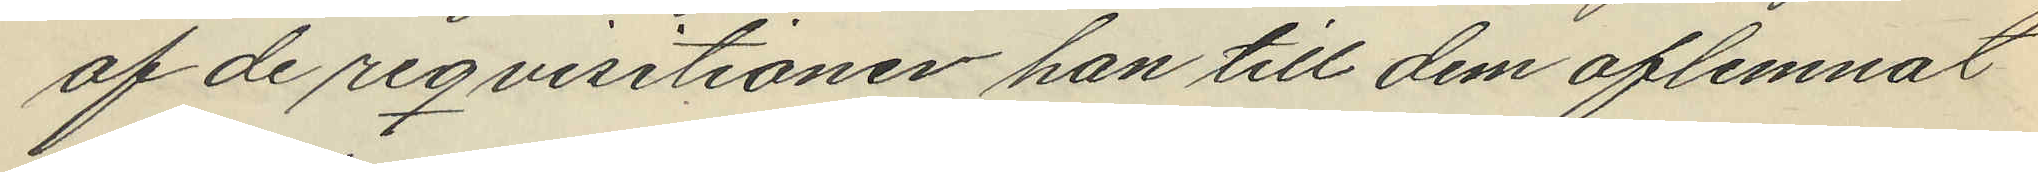af de reqvisitioner han till dem aflemnat
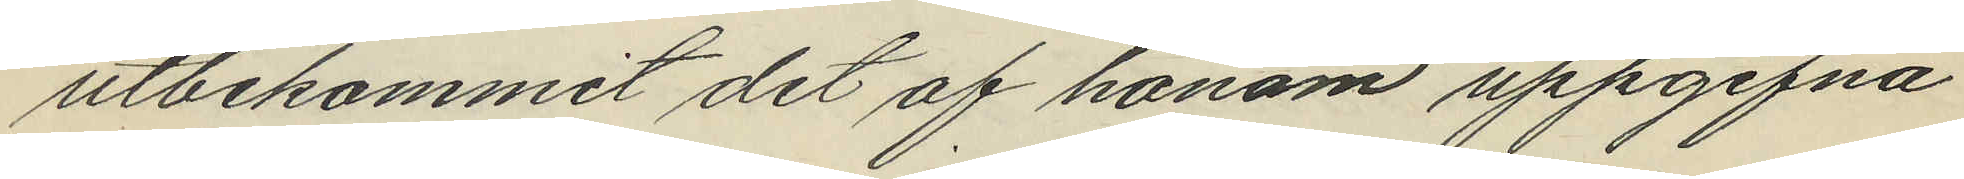utbekommit det af honom uppgifna
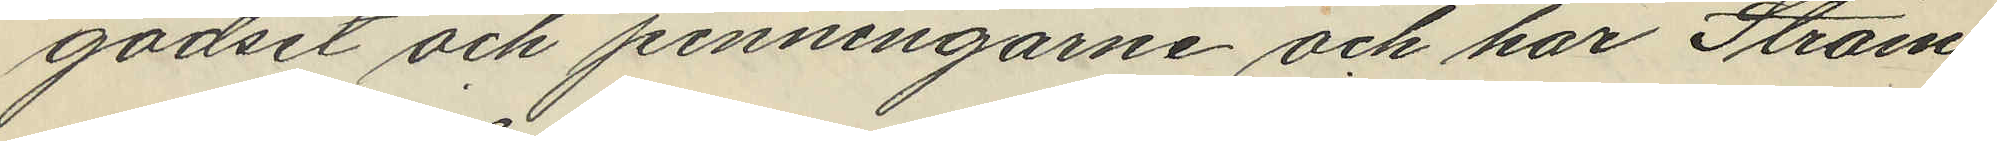godset och penningarne och har Ström
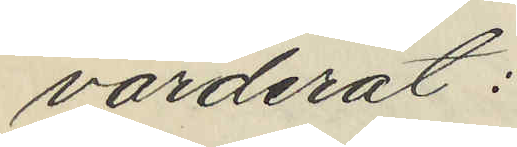värderat:
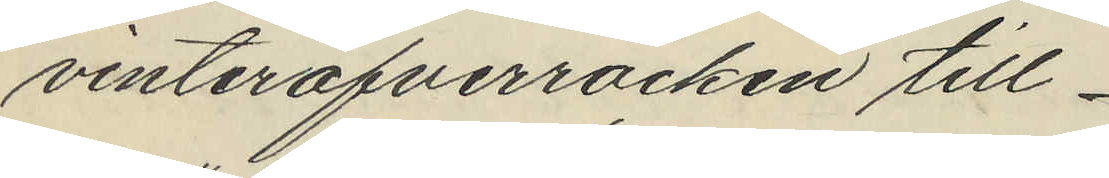vinteröfverrocken till
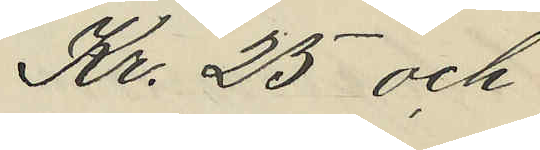Kr. 25 och
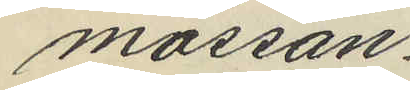mössan
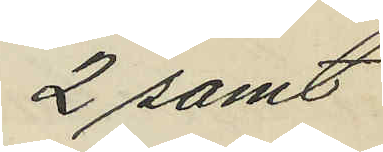2 samt
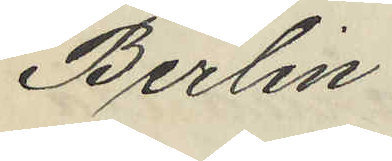Berlin
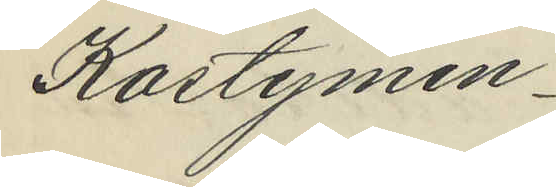Kostymen
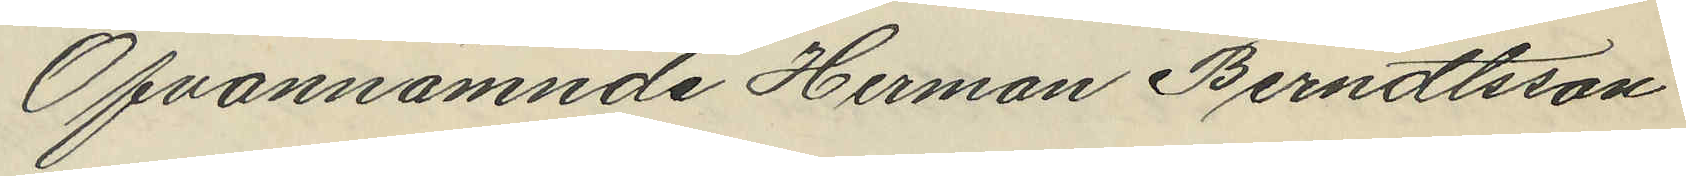Ofvannämnde Herman Berndtsson
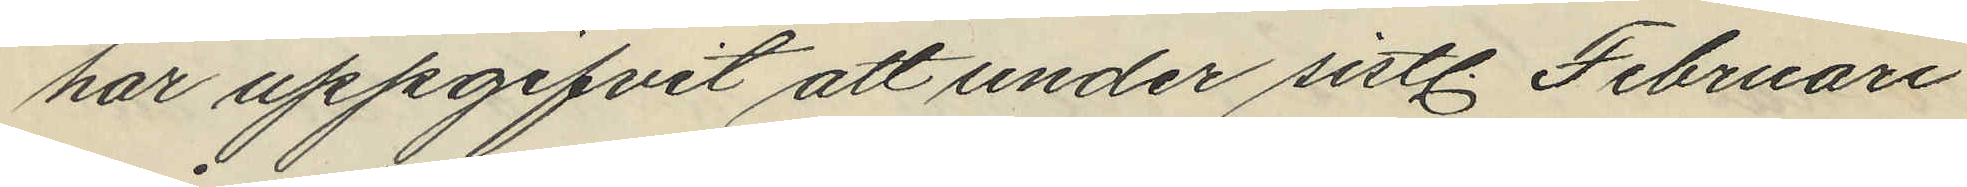har uppgifvit att under sistl. Februari
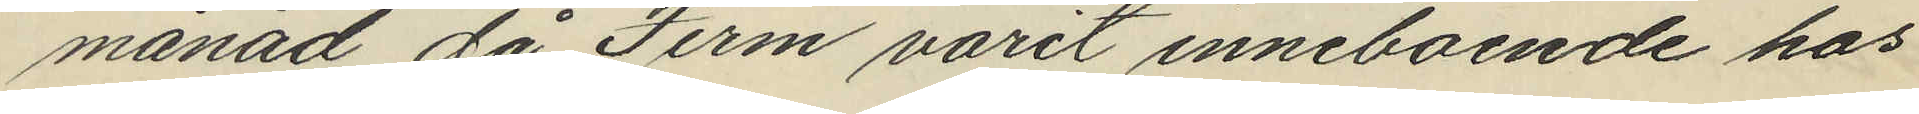månad, då Ferm varit inneboende hos
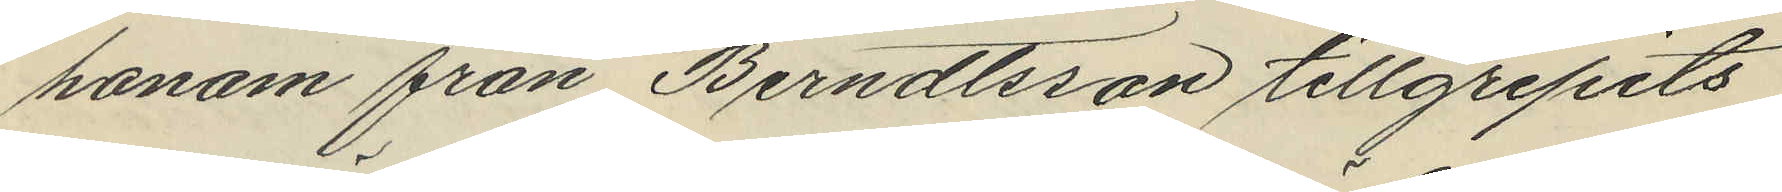honom från Berndtsson tillgripits
